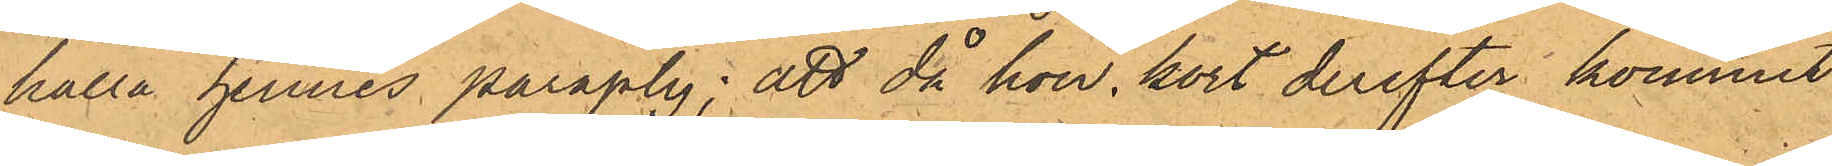hålla hennes paraply; att då hon kort derefter kommit
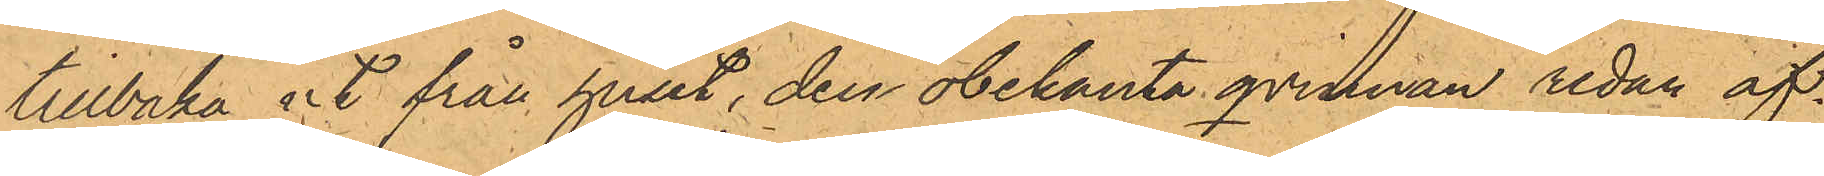tillbaka it från huset, den obekanta qvintnan redan öf¬
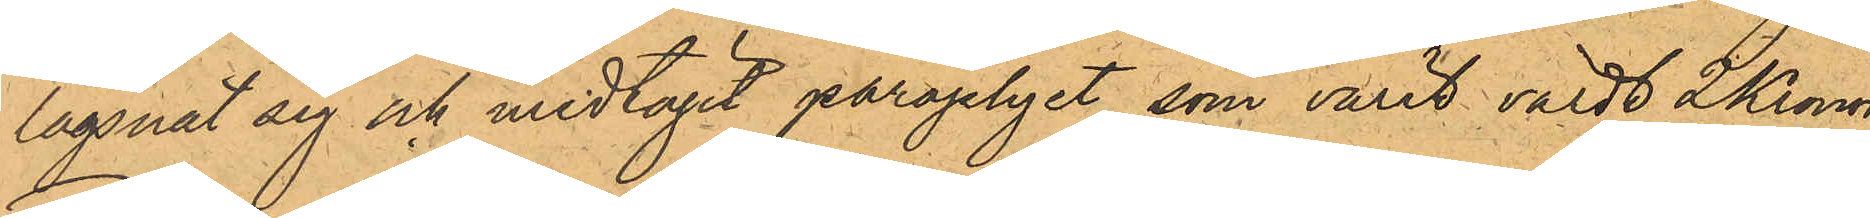lägsnat sig och medtagit paraplyet, som varit värdt 2 Kronor.
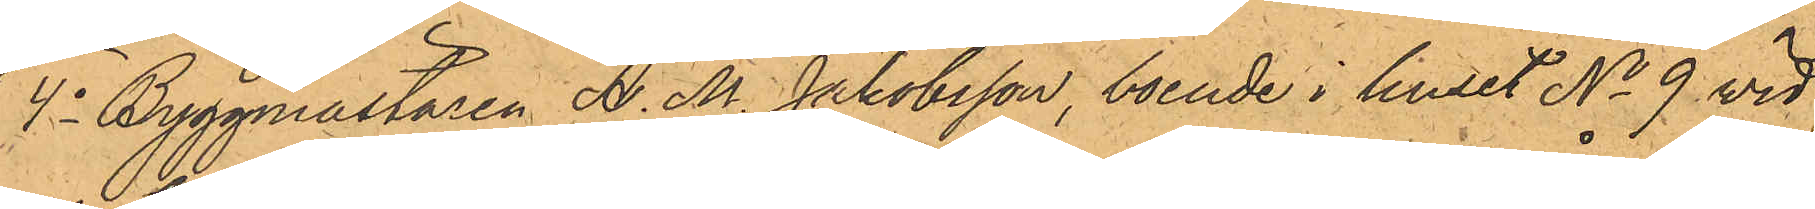4o Byggmästaren A. M. Jakobsson, boende i huset No 9 vid
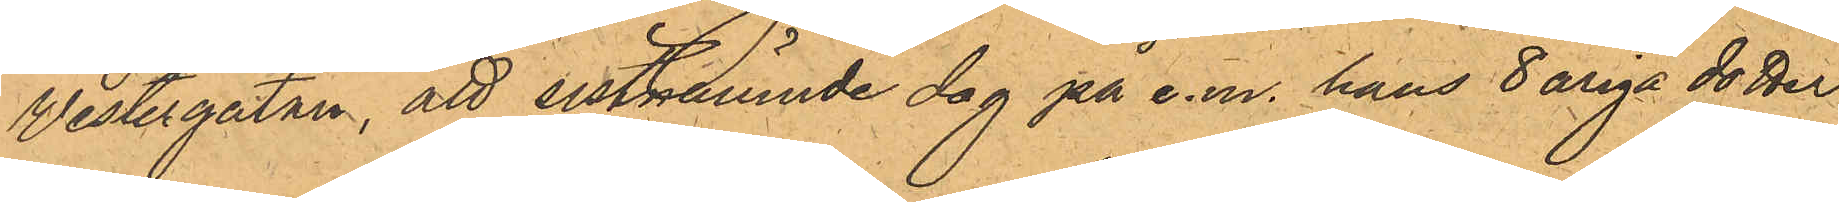Vestergatan, att sistnämnde dag på e.m. hans 8 åriga dotter
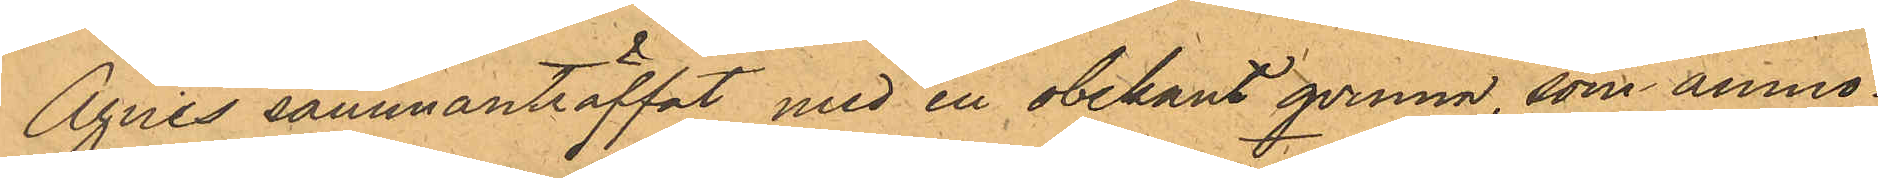Agnes sammanträffat med en obekant qvinna, som anmo¬
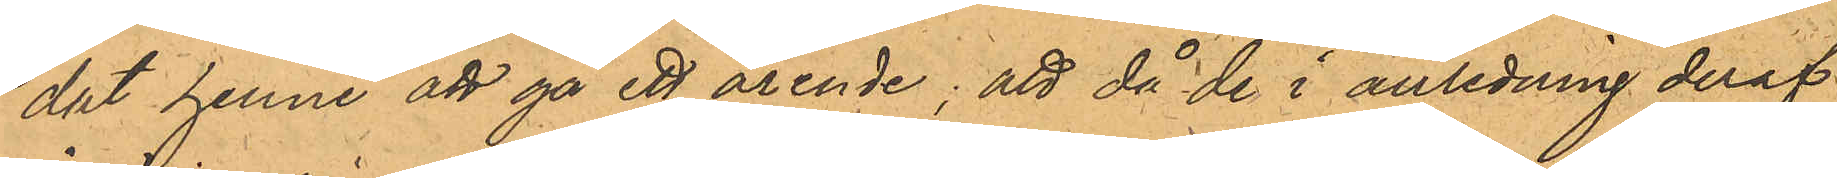dat henne att gå ett ärende; att då de i anledning deraf
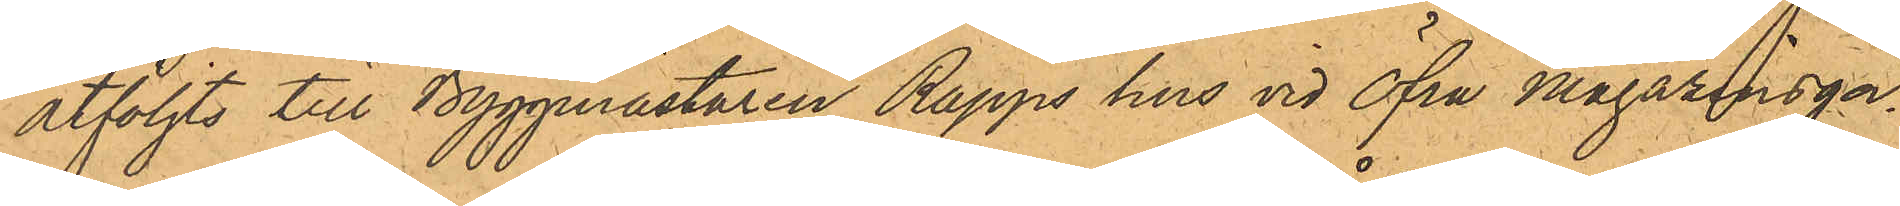åtföljts till Byggmästaren Rapps hus vid Öfra Magazinsgar¬
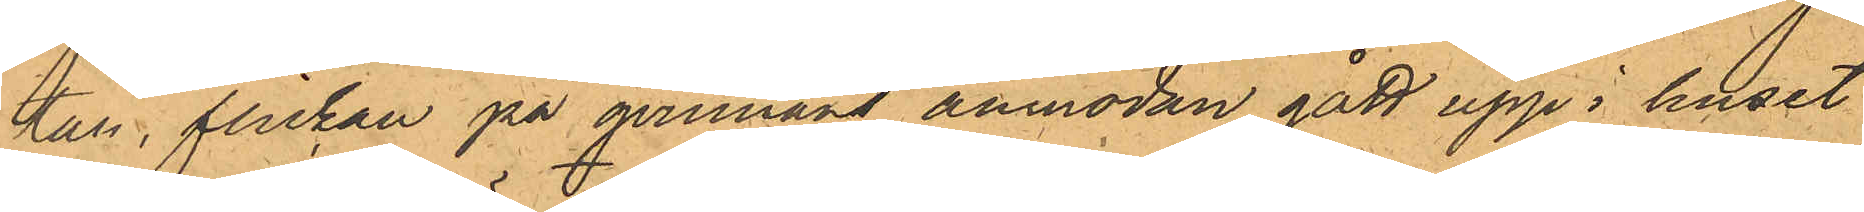tan, flickan på qvinnans anmodan, gått upp i huset
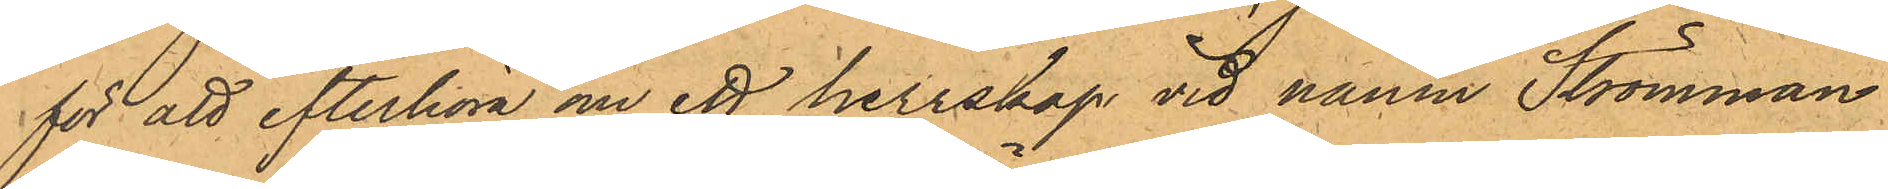för att efterhöra om ett herrskap vid namn Strömman
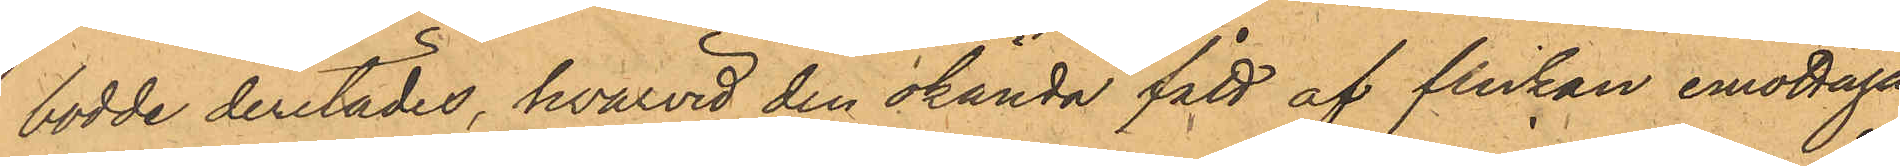bodde derstädes, hvarvid den okända fått af flickan emottaga
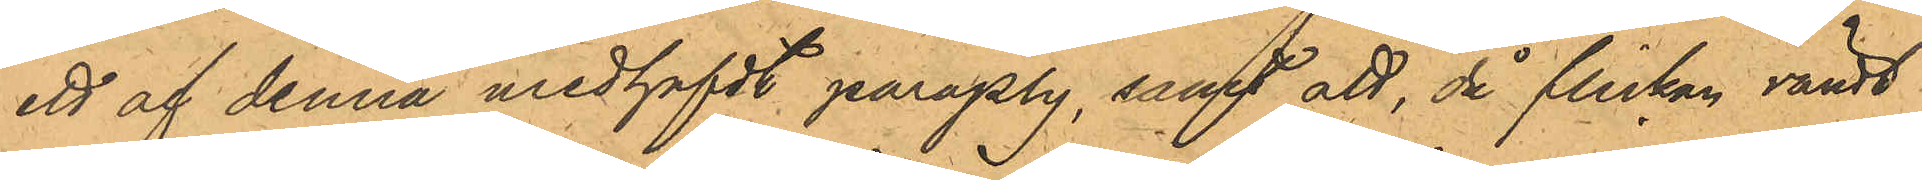ett af denna medhafdt paraply, samt att, då flickan vändt
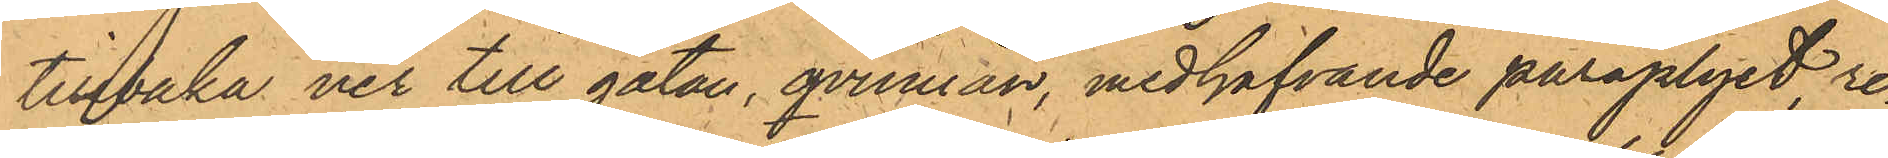tillbaka ner till gatan, qvinnan, medhafvande paraplyet, re¬
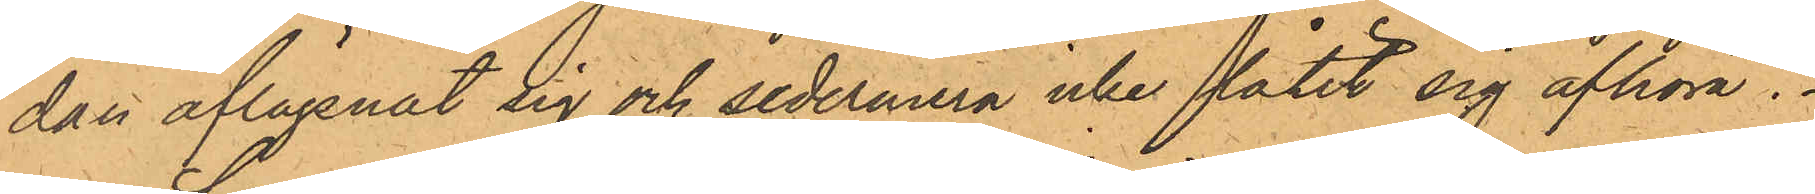dan aflägsnat sig och sedermera icke låtit sig afhöra.
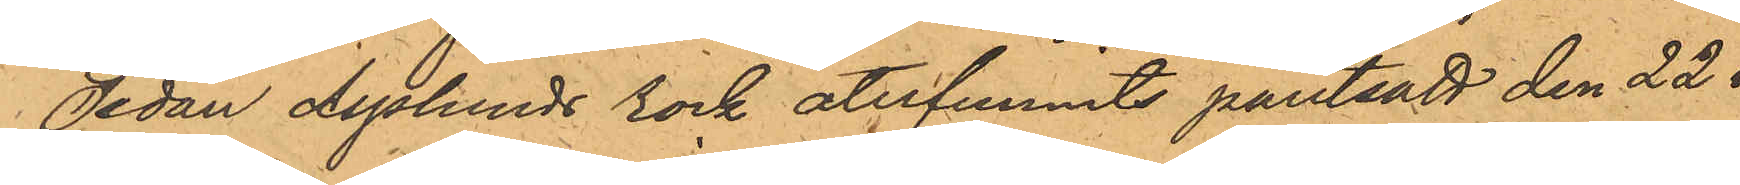Sedan Asplunds rock återfunnits pantsatt den 22 i
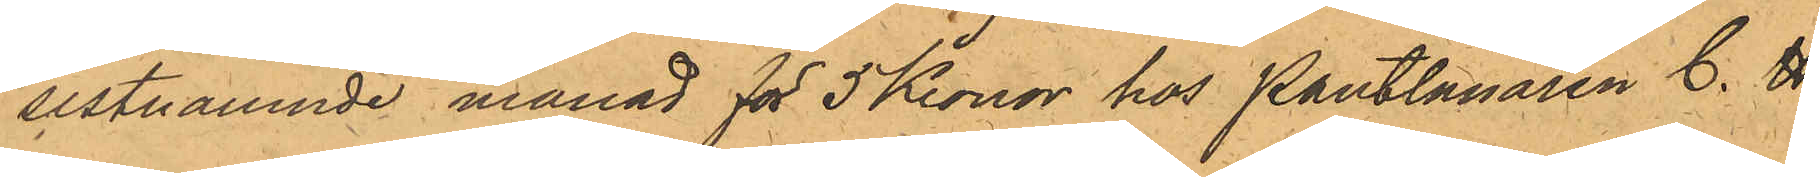sistnämnde månad för 5 Kronor hos Pantlånaren C. H.
